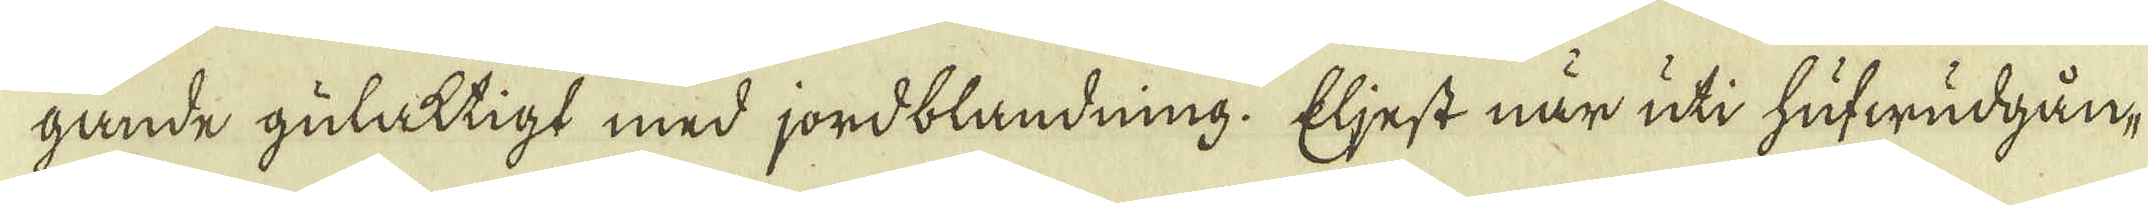gande gulaktigt med jordblandning. Eljest när uti hufwudgån-
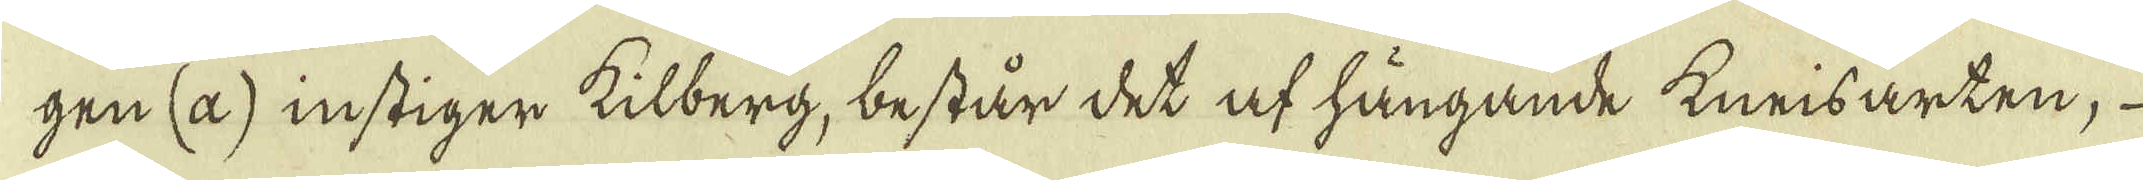gen (a) instiger kilberg, består det af hängande kneisarten,
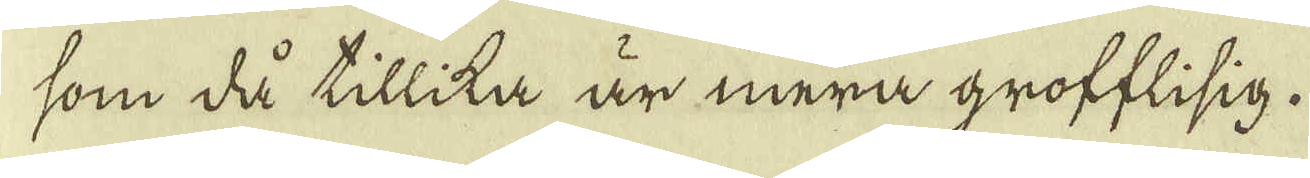som då tillika är mera grofflisig.
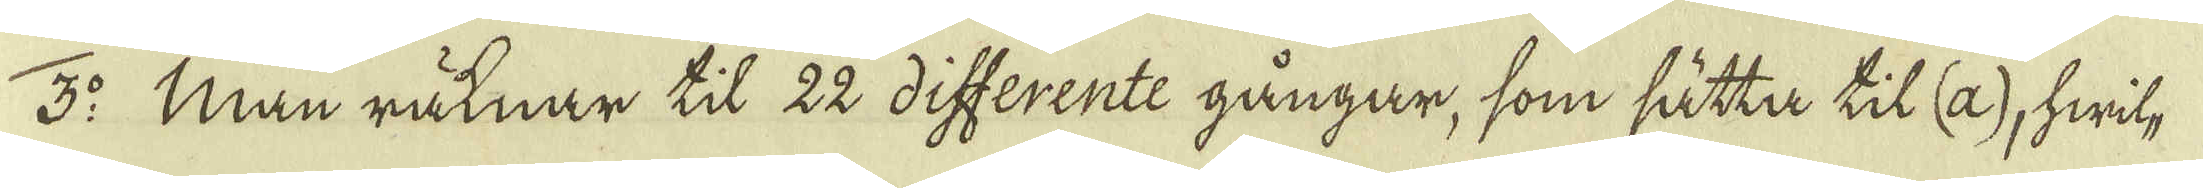3:o Man räknar til 22 differente gångar, som sätta til (a), hwil-
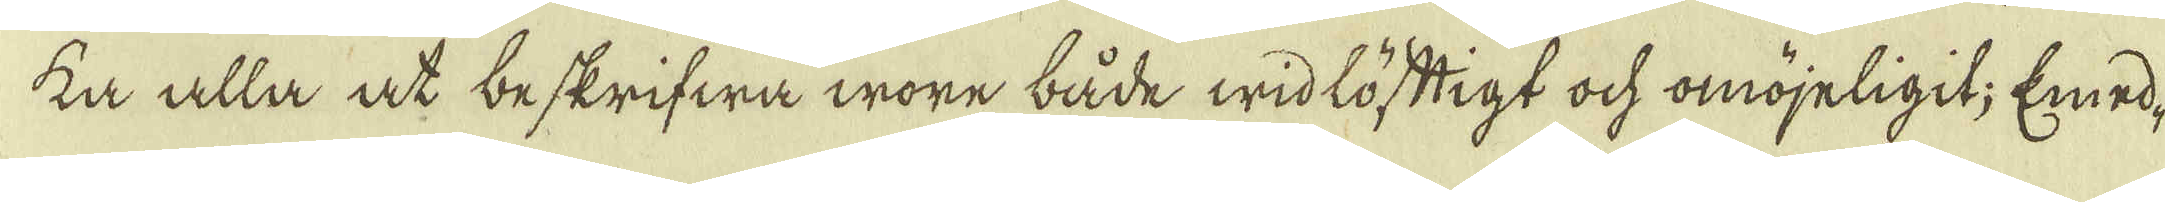ka alla at beskrifwa wore både widlöftigt ock omöjeligit; Emed-
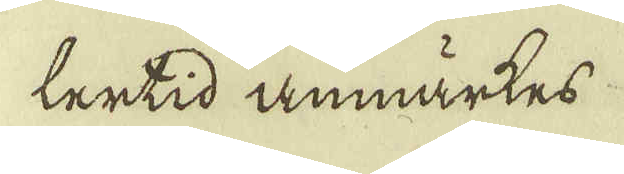lertid anmärkes
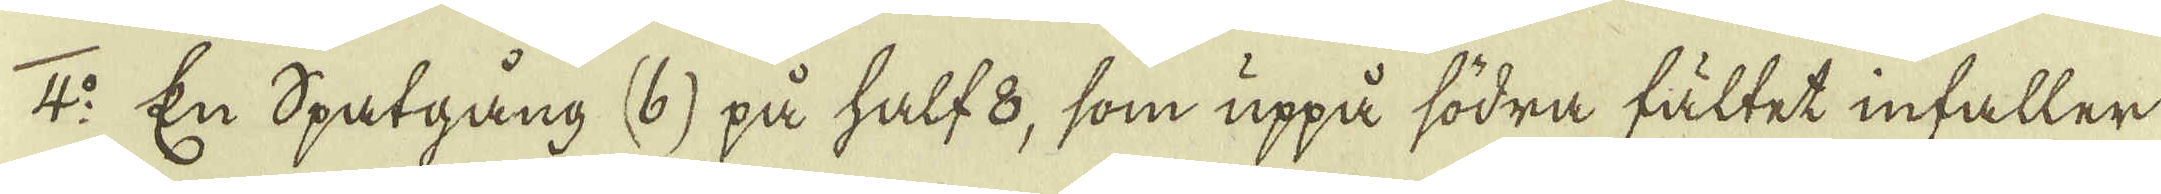4:o En Spatgång (b) på half 8, som uppå södra fältet infaller
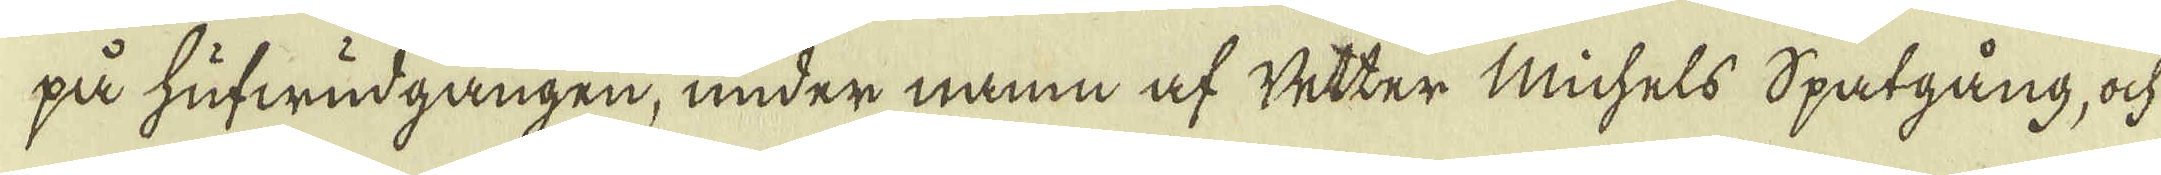på hufwudgången, under namn af wetter Michels spatgång, ock
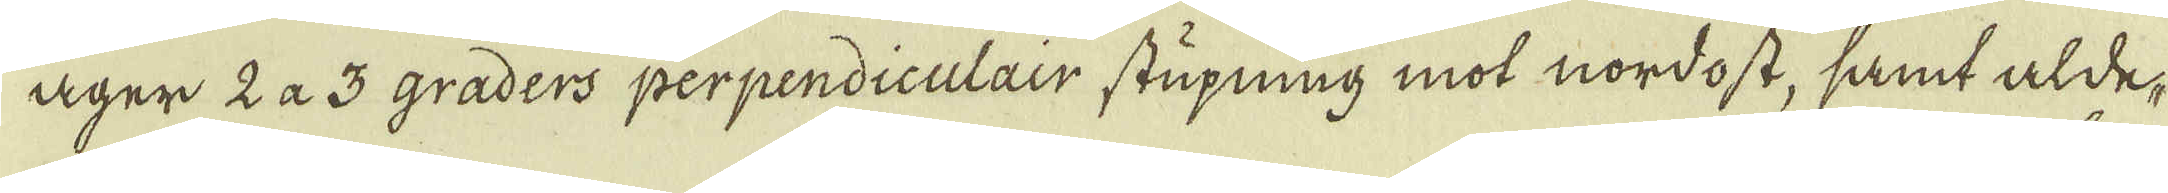äger 2 a 3 graders perpendiculair stupning mot nordost, samt alde-
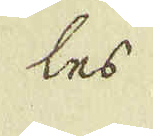les
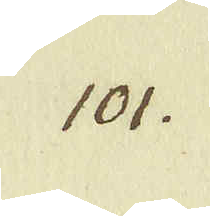101.
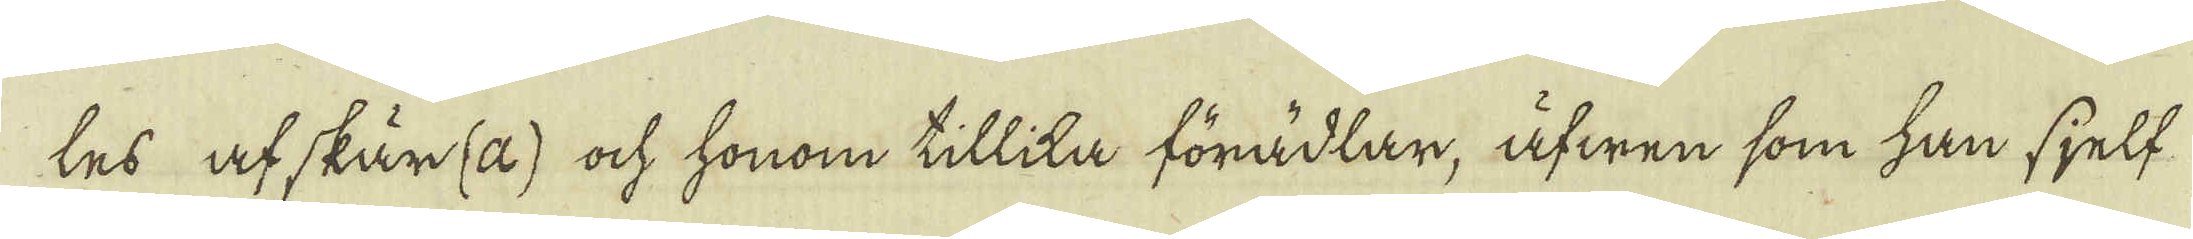les afskär(a) ock honom tillika förädlar, äfwen som han sjelf-
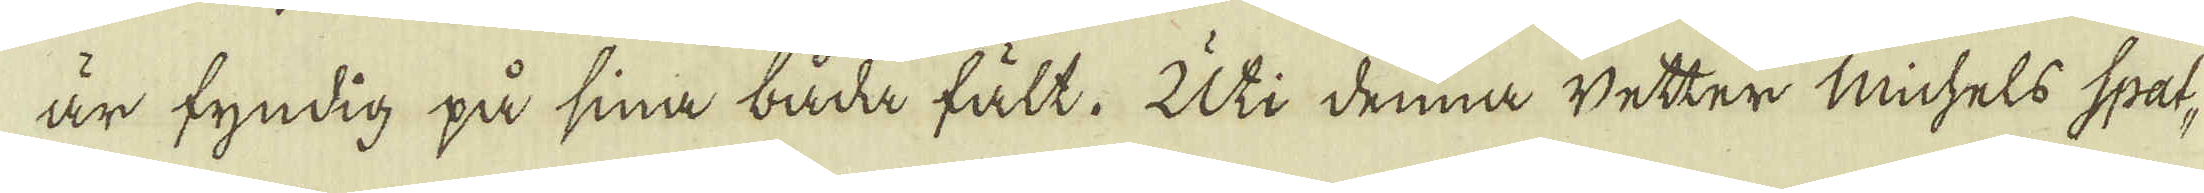är fyndig på sina båda fält. Uti denna wetter Michels spat-
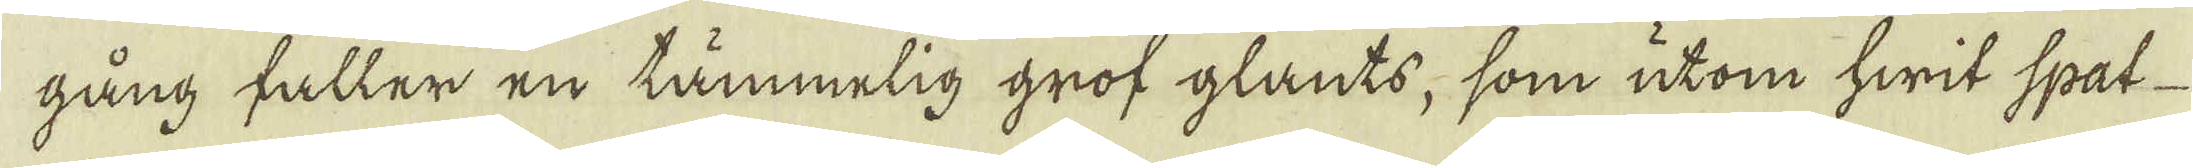gång faller en tämmelig grof glants, som utom hwit spat-
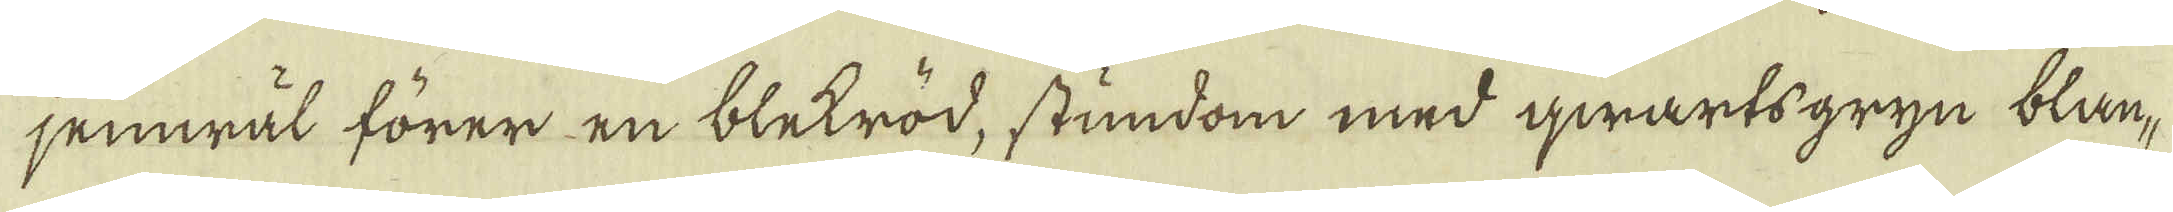jemwäl förer en bletröd, stundom med qwarts gryn blan-
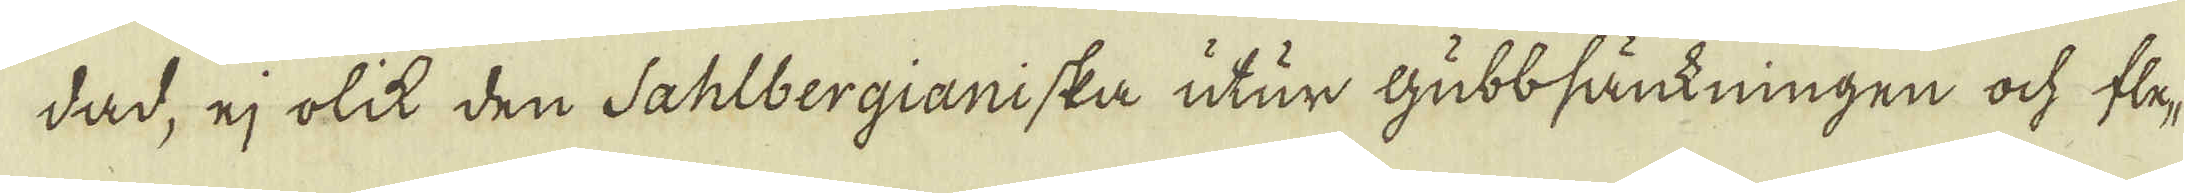dad, ej olik den Sahlbergianiska utur gubbsänkningen ock fle-
